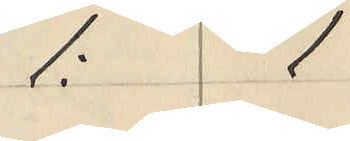1: 1
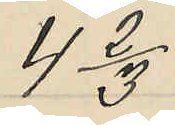4 2/3
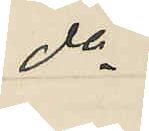do
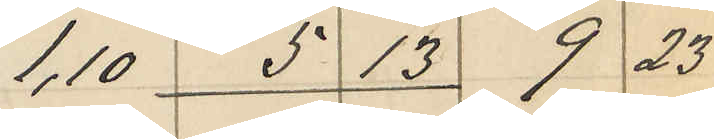1,10 5 13 9 23
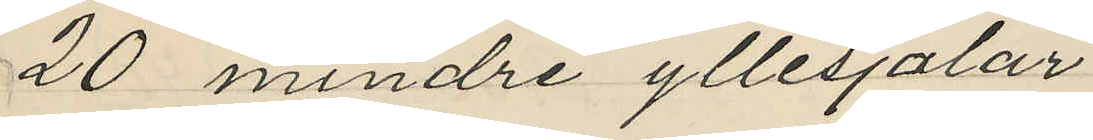20 mindre yllesjalar
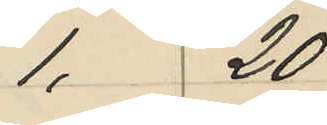1, 20
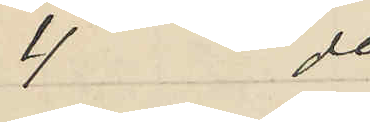4 do
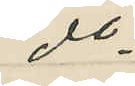do
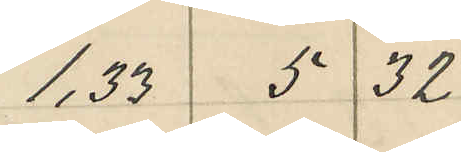1,33 5 32
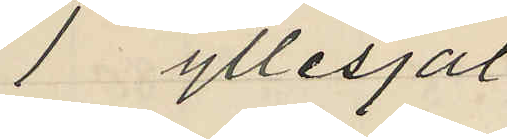1 yllesjal
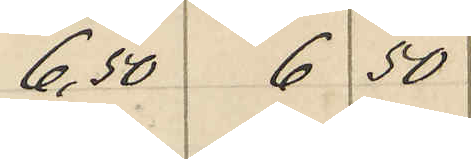6,50 6 50
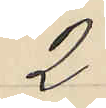2.
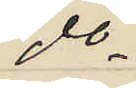do
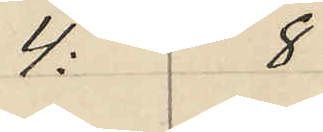4: 8
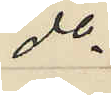do
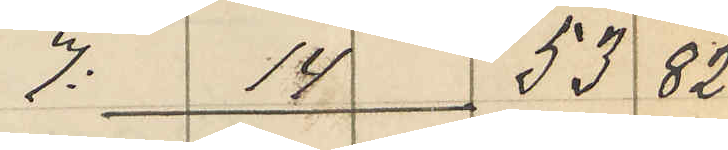7: 14 53 82
